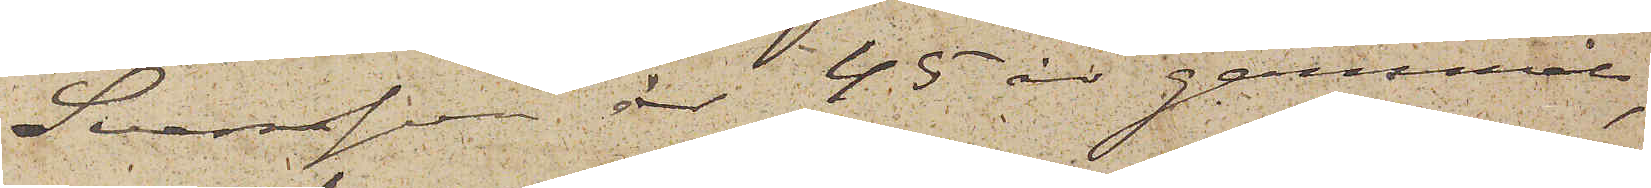Svensson är 45 år gammal,
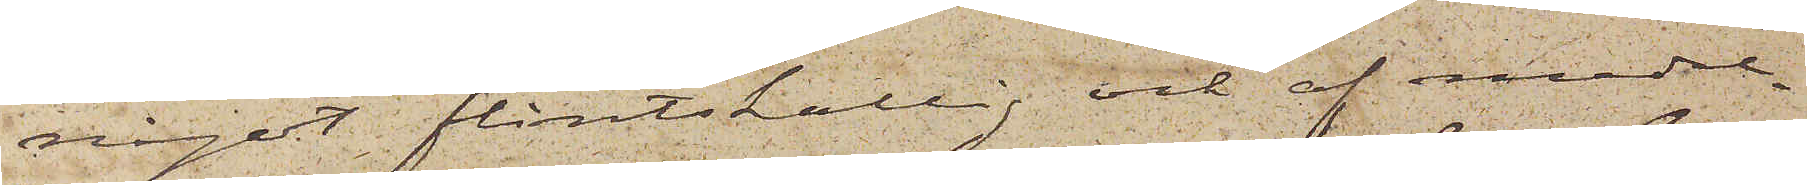något flintskallig och af medel¬
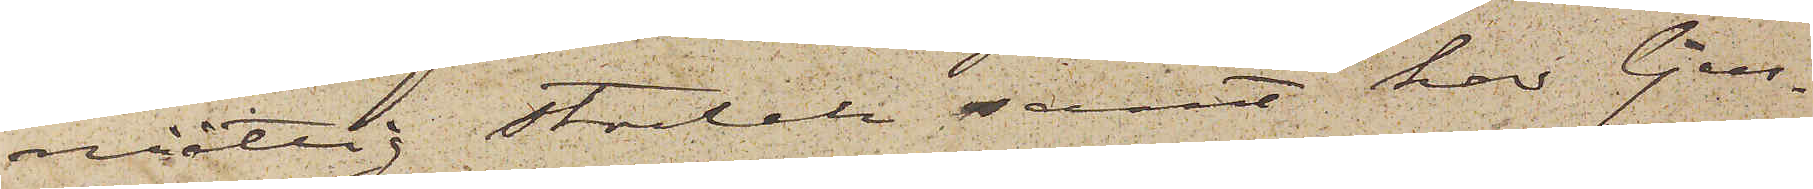måttig storlek samt har ljus¬
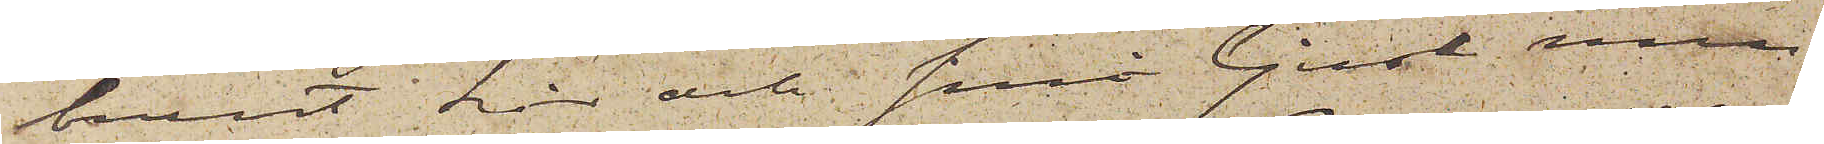brunt hår och små ljusa mu¬
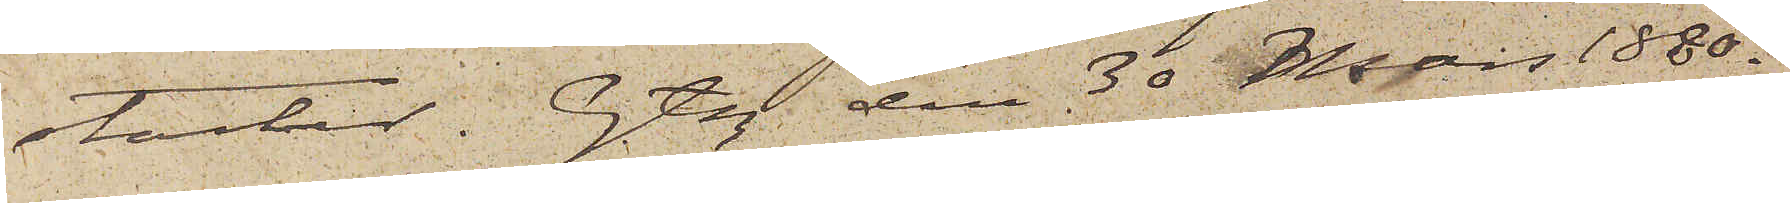stacher. Gtbg den 30 Mars 1880.
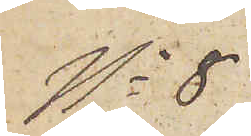No 8
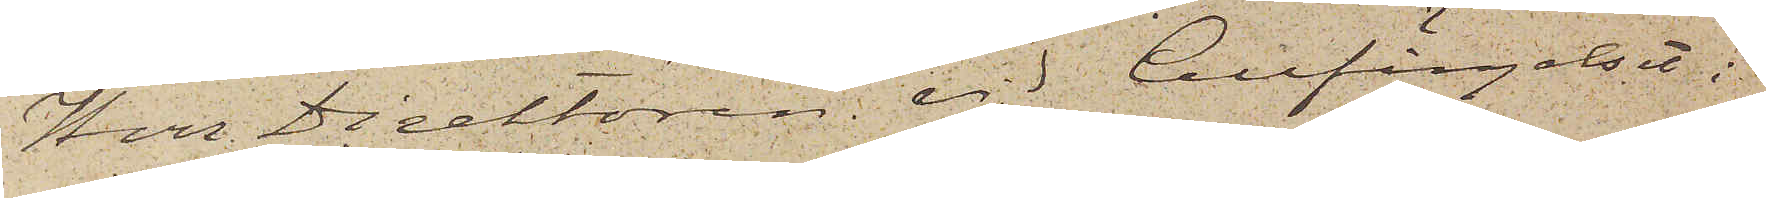Herr Direktören vid Cellfängelset i
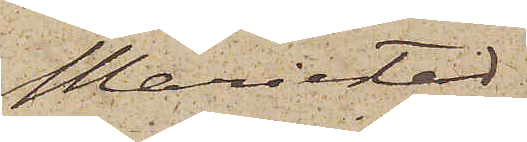Mariestad.
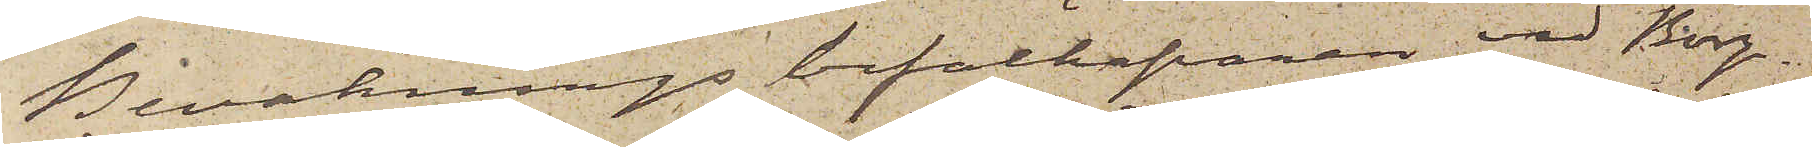Bevakningsbefälhafvaren vid Borg¬
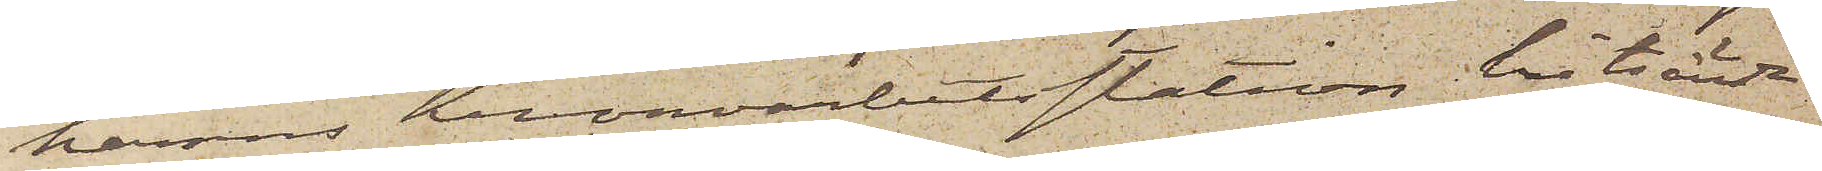hamns Kronoarbetsstation hitsände
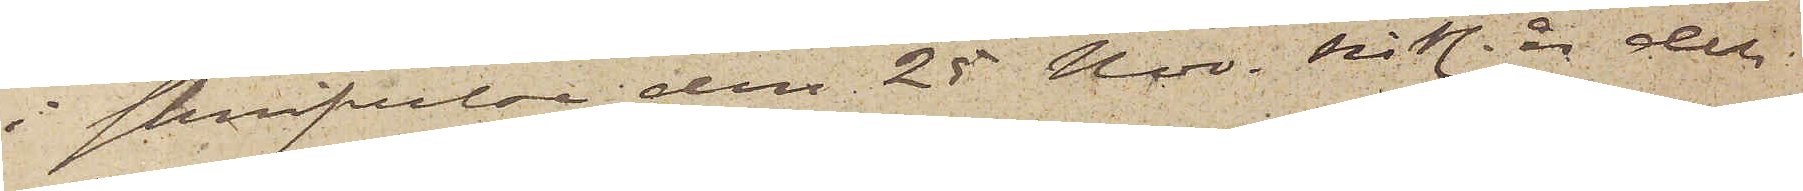i skrifvelse den 25 Nov. sistl. år dels
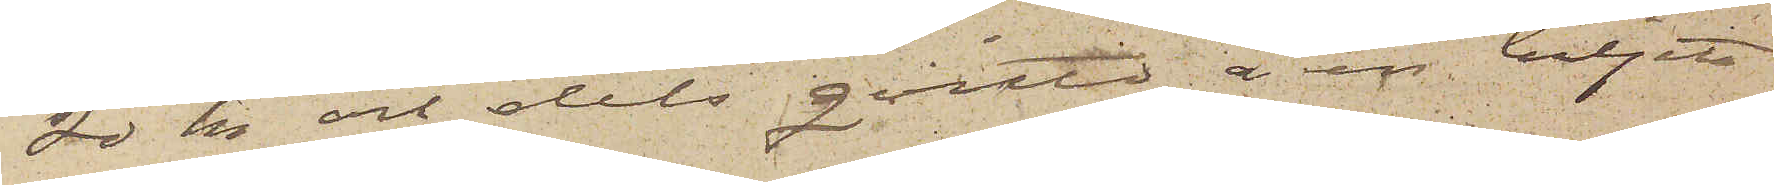20 kr och dels qvitto å en biljett
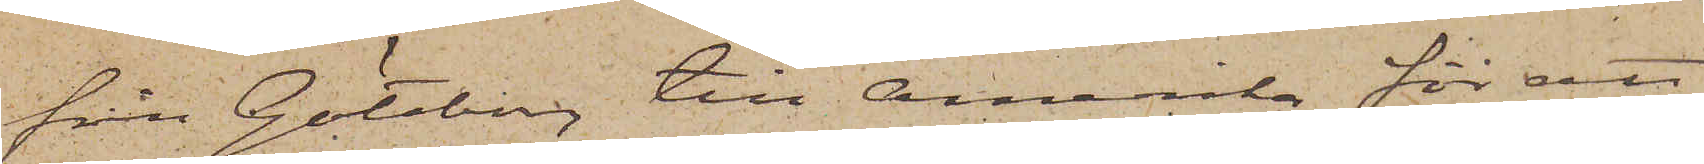från Göteborg till Amerika för att
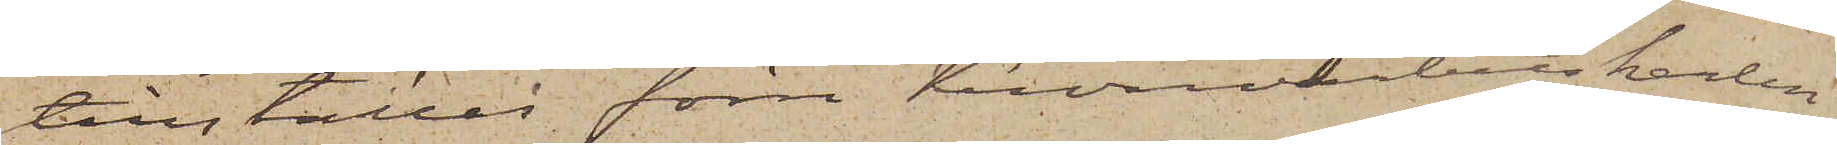tillställas förre Kronoarbetskarlen
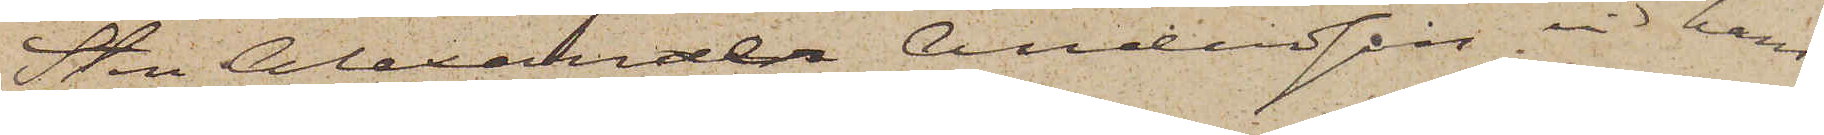Sten Alexander Andersson vid hans
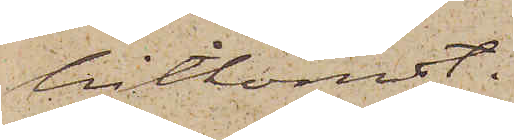hitkomst;
